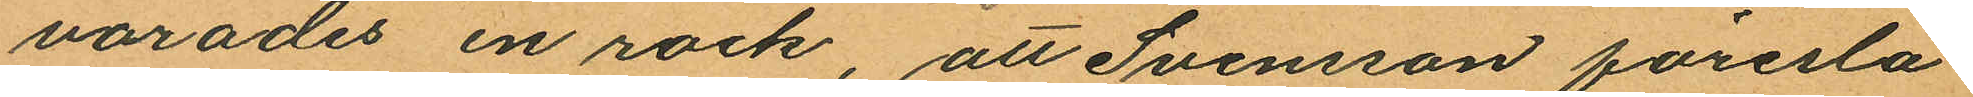varades en rock, att Svensson föresla¬
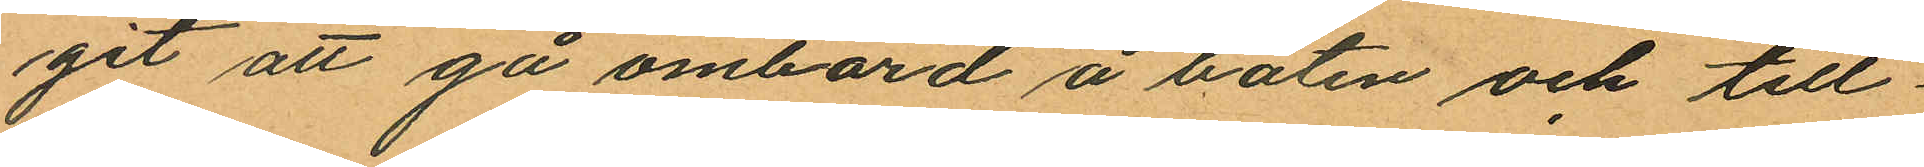git att gå ombord å båten och till¬
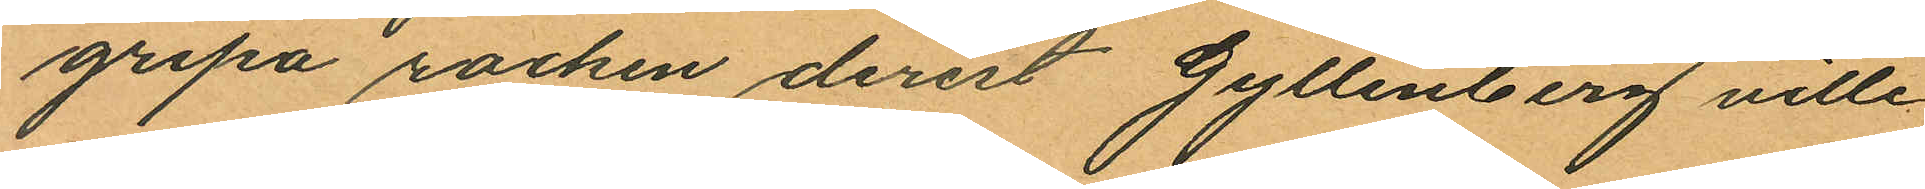gripa rocken derest Gyllenberg ville
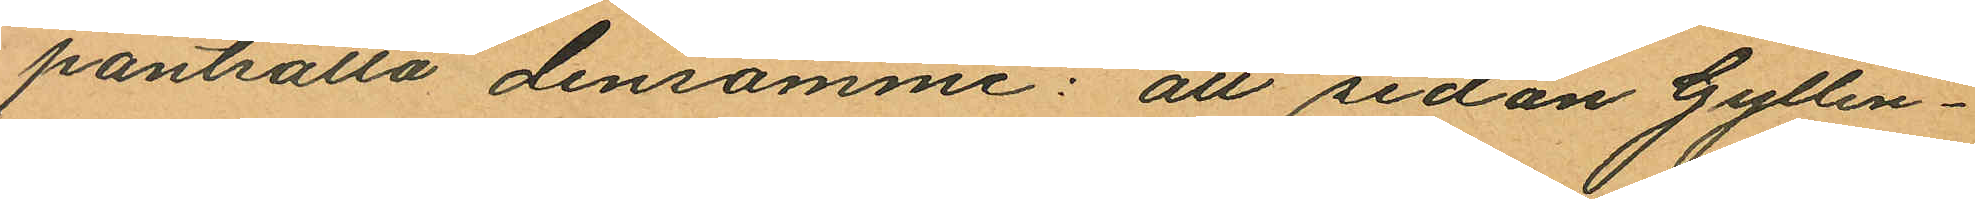pantsätta densamme: att sedan Gyllen¬
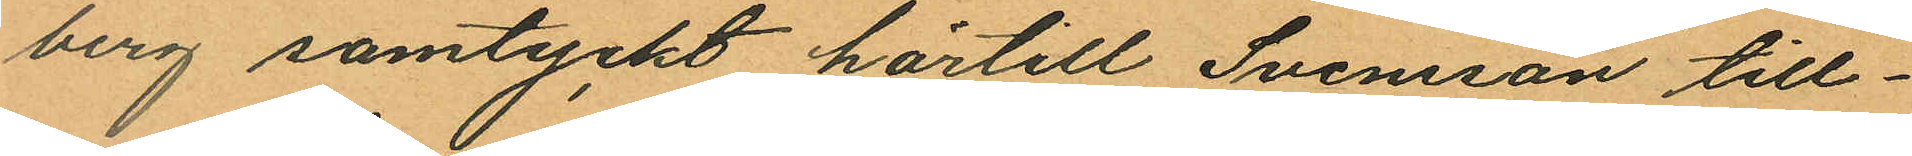berg samtyckt härtill Svensson till¬
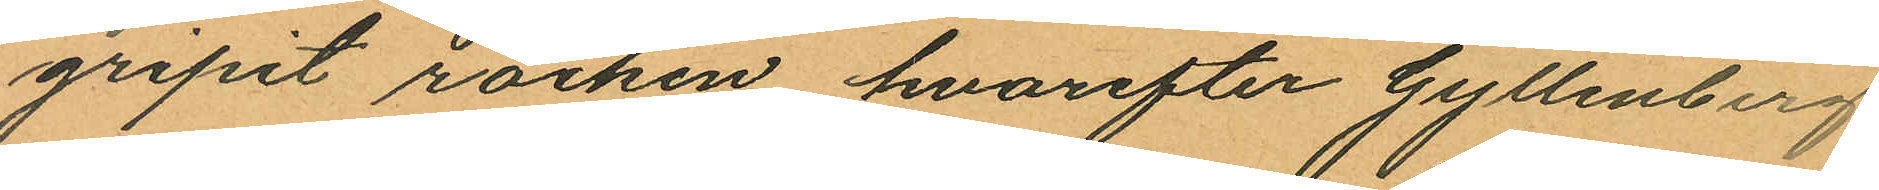gripit rocken, hvarefter Gyllenberg
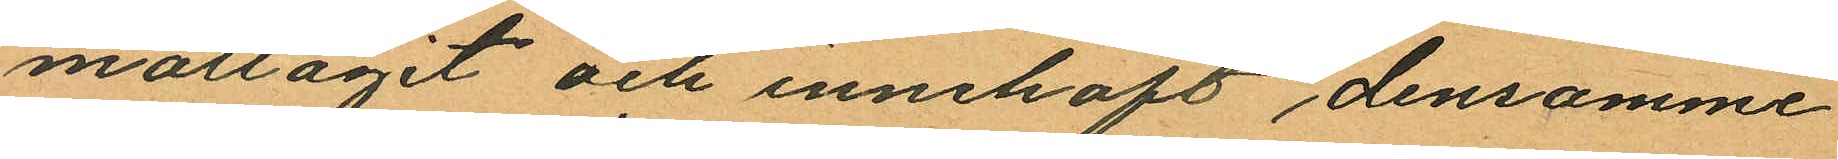mottagit och innehaft densamme
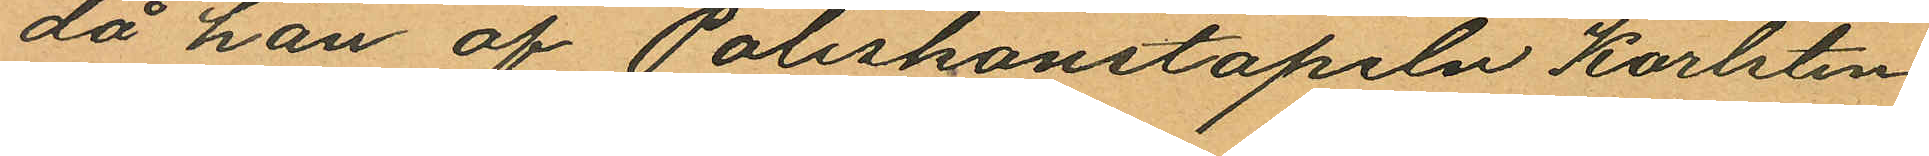då han af Poliskonstapeln Karlsten
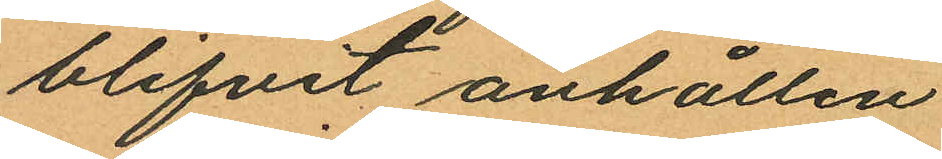blifvit anhållen.
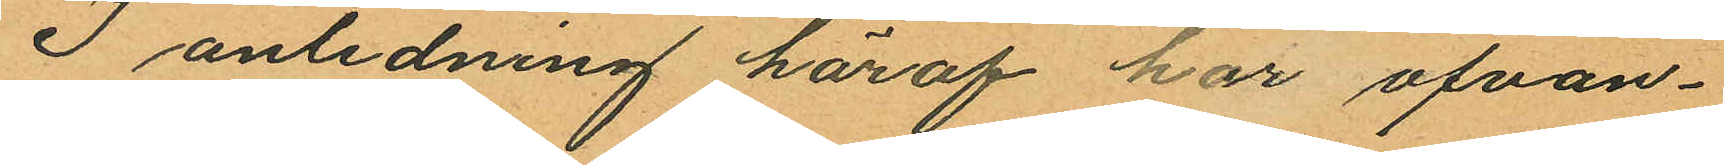I anledning häraf har ofvan¬
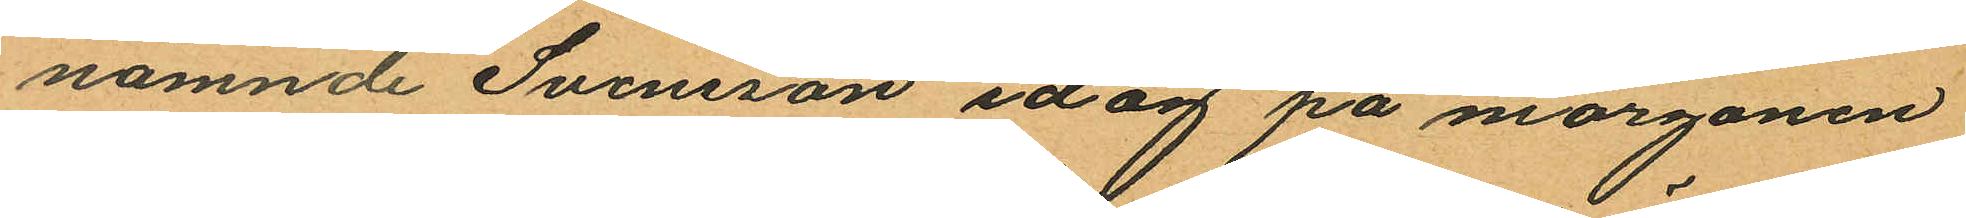nämnde Svensson idag på morgonen
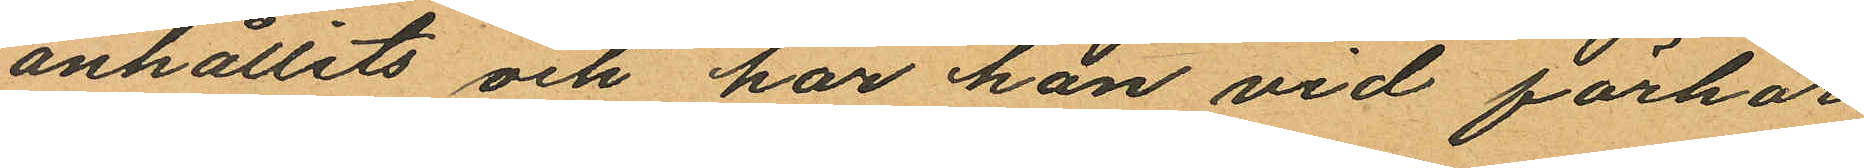anhållits och har han vid förhör
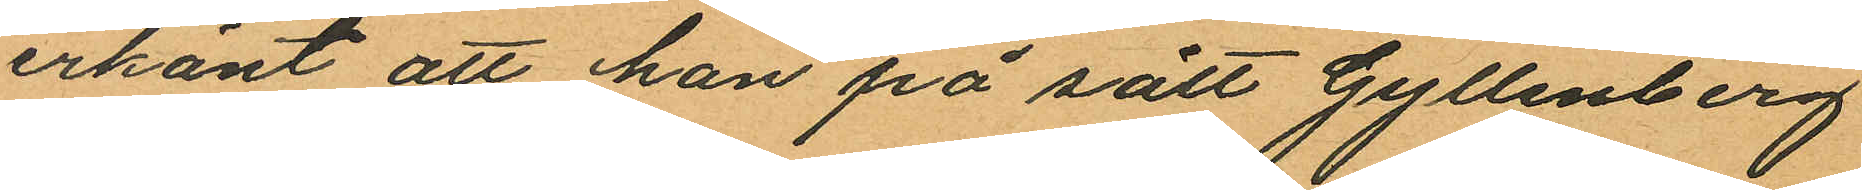erkänt att han på sätt Gyllenberg
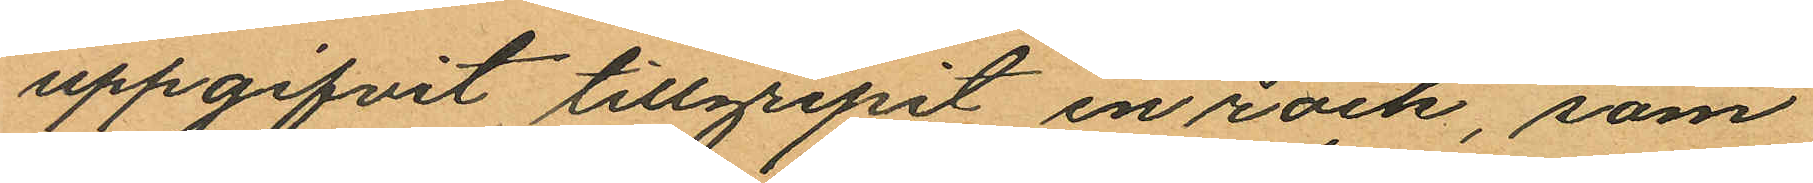uppgifvit tillgripit en rock, som
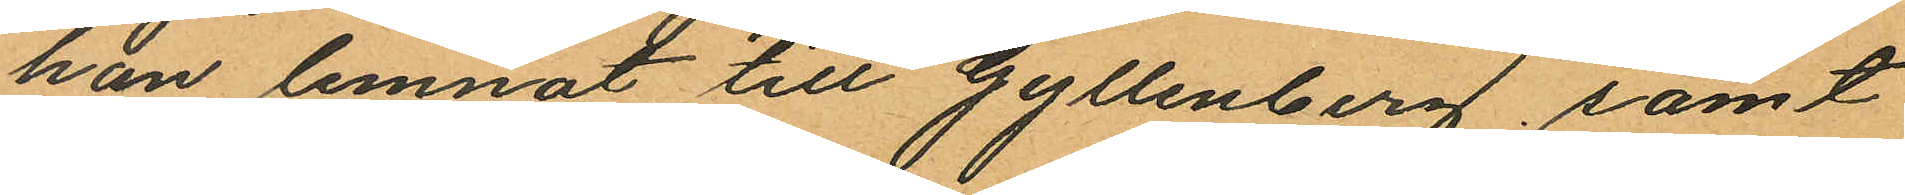han lemnat till Gyllenberg samt
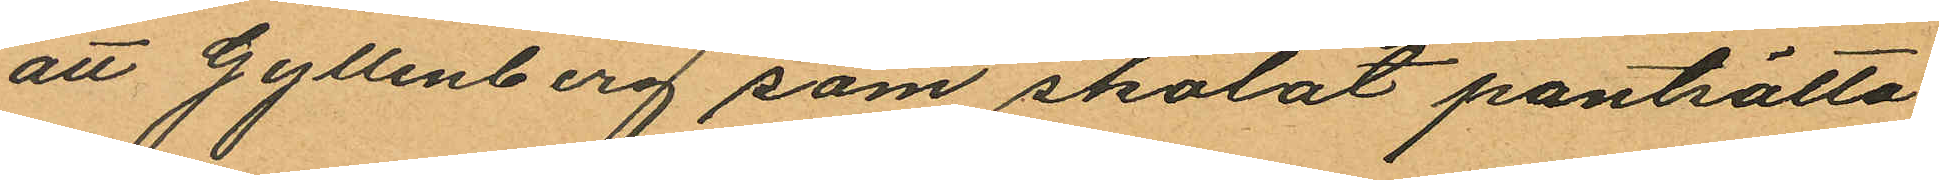att Gyllenberg som skolat pantsätta
